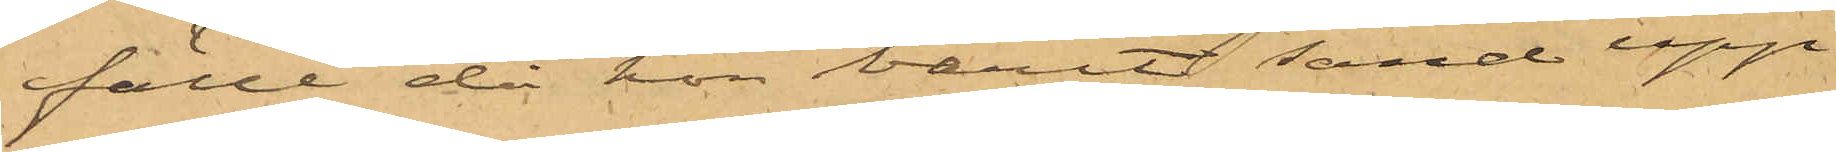fälle då hon varit sänd upp
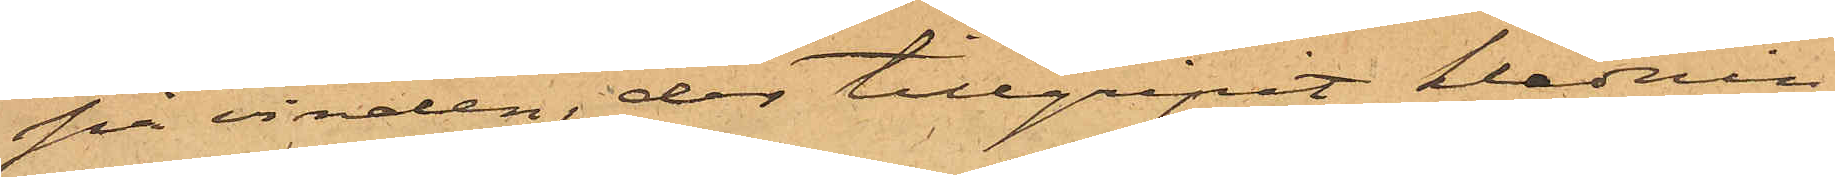på vinden, der tillgripit klädnin¬
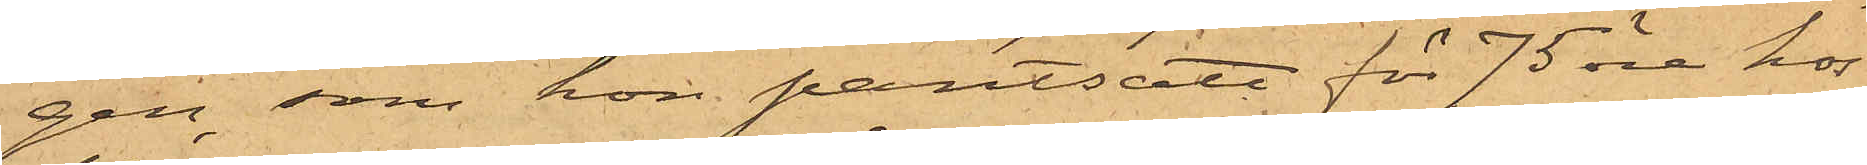gen som hon pantsatt för 75 öre hos
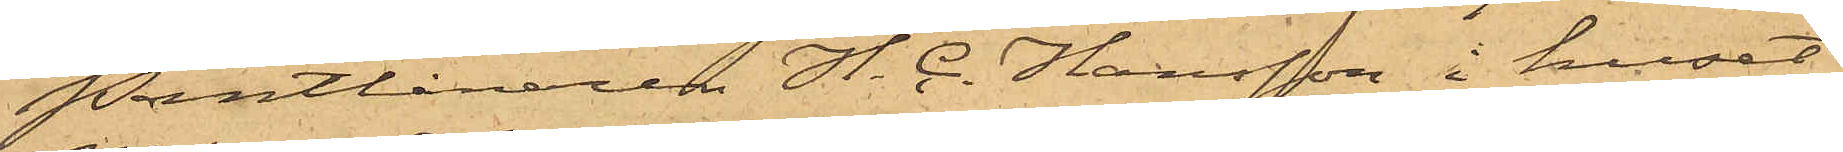Pantlånaren H. C. Hansson i huset
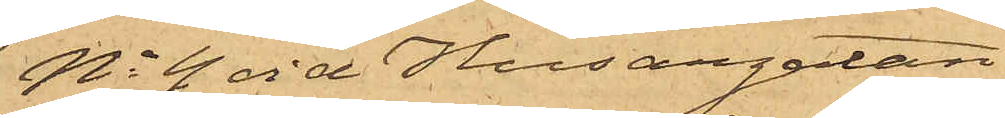No 4 vid Husargatan.
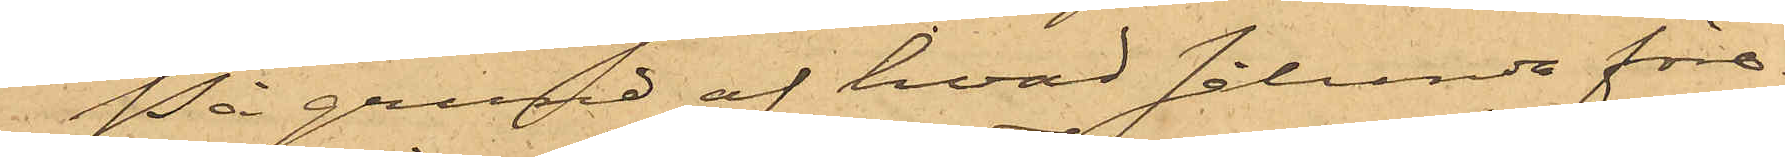På grund af hvad sålunda före¬
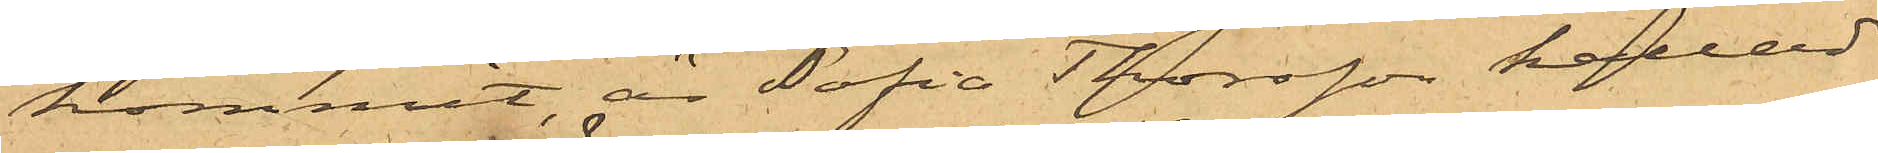kommit, är Sofia Thorsson kallad
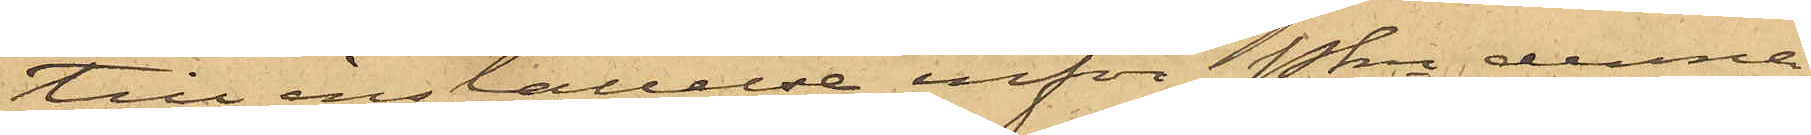till inställelse inför Pkn denna
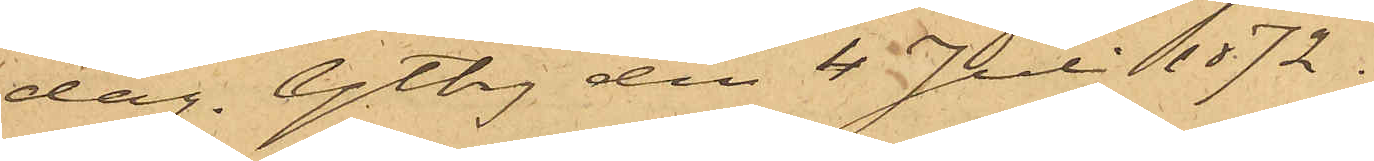dag. Gtbg den 4 Juli 1872.
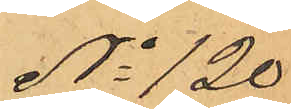No 120
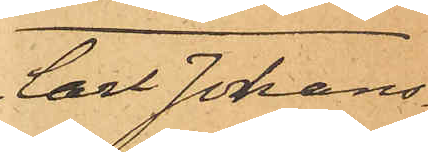Carl Johans¬
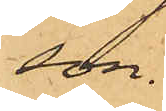son.
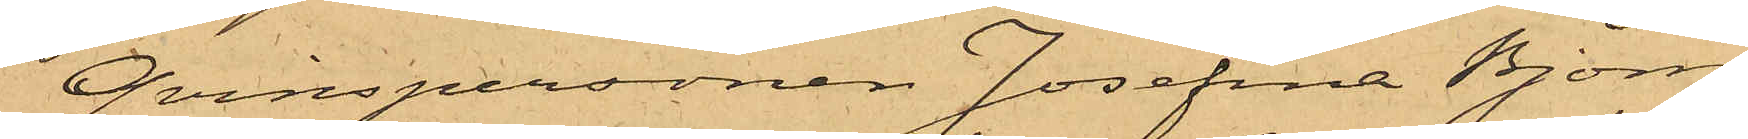Qvinspersonen Josefina Björn,
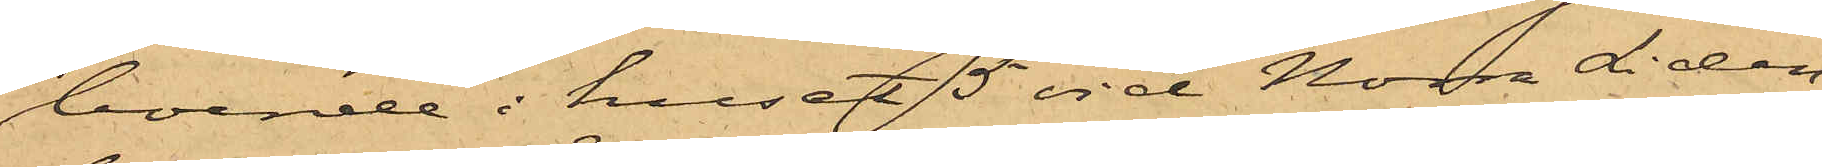boende i huset 5 vid Norra Liden,
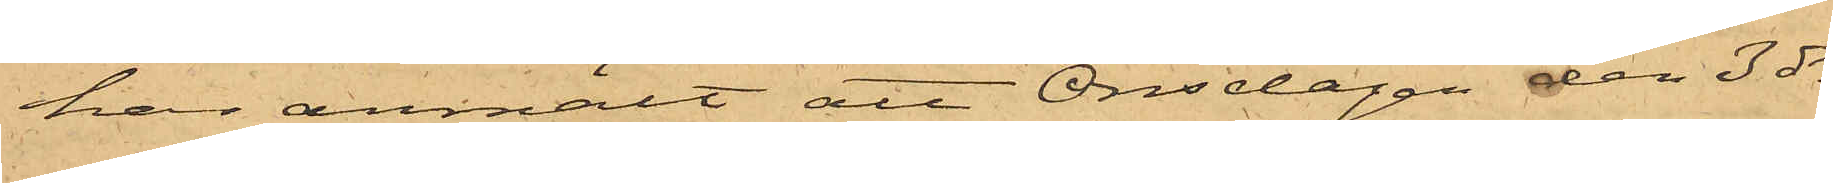har anmält att Onsdagen den 3 ds
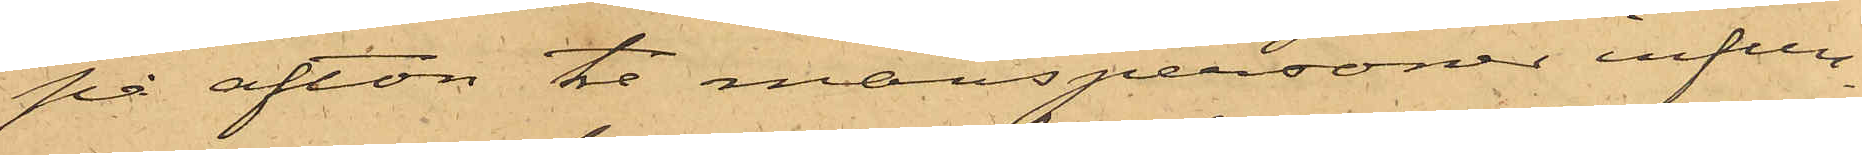på afton tre manspersoner infun¬
